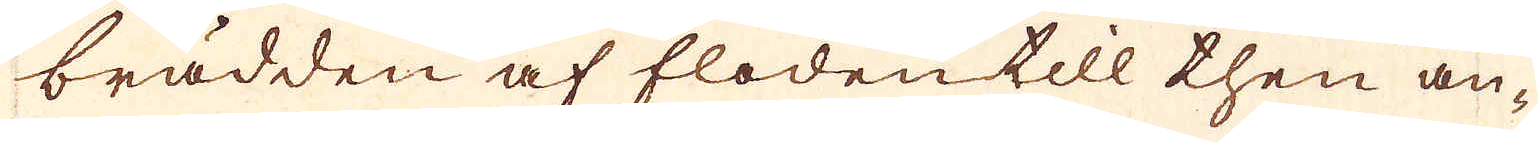brädden af floden till then an-
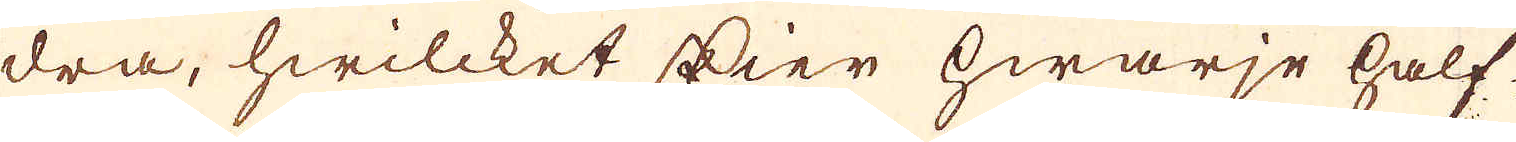dra, hwilcket skier hwarje half
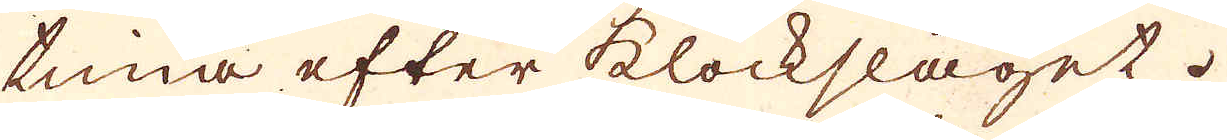tima efter klockslaget.
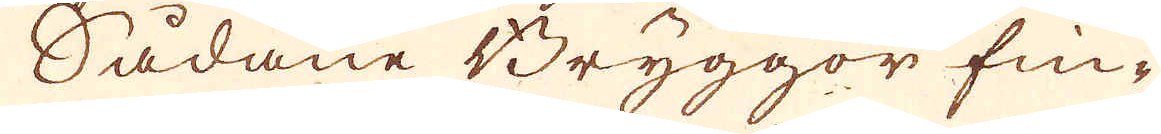Sådane Bryggor fin-
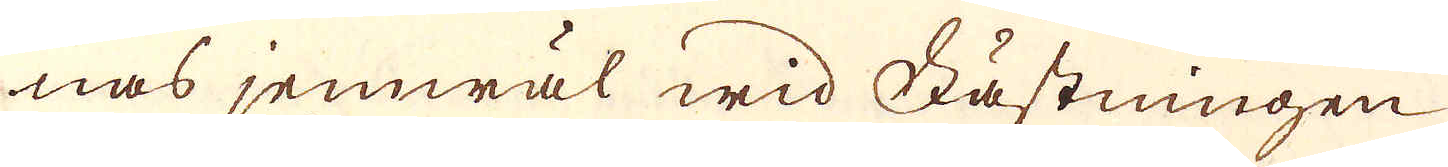nas jemwäl wid Fästningen
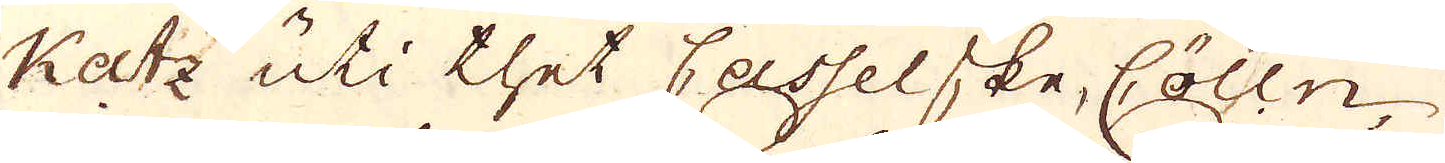Katz uti thet Casselske, Cölln,
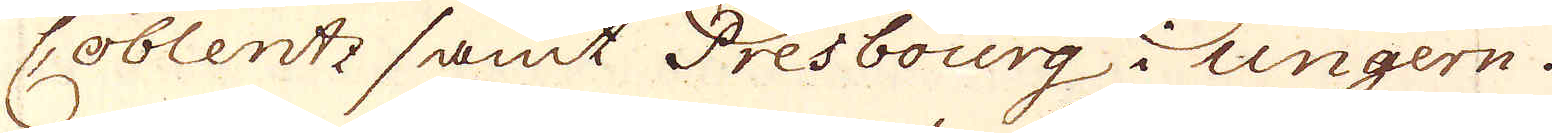Coblentz samt Presbourg i Ungern.
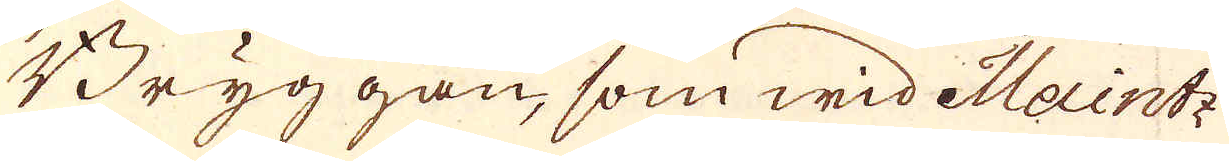Bryggan, som wid Maintz
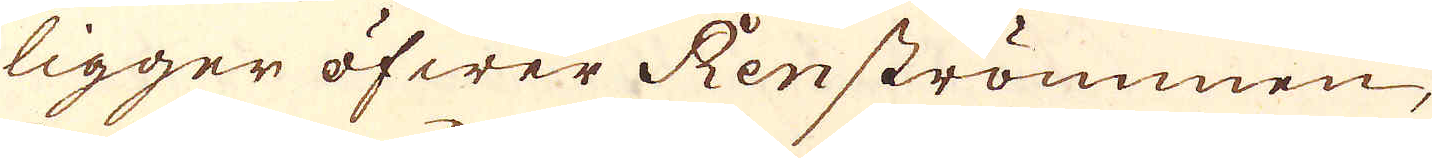ligger öfwer Renströmmen,
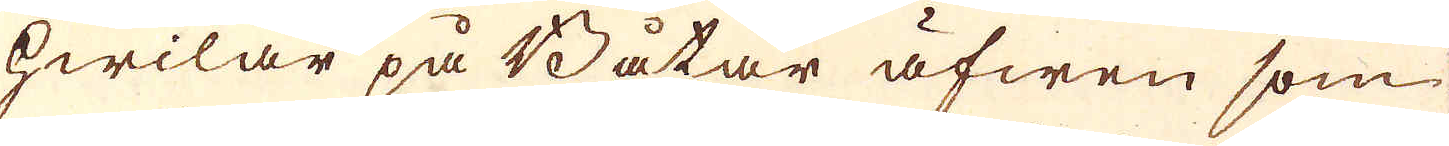hwilar på Båtar äfwen som
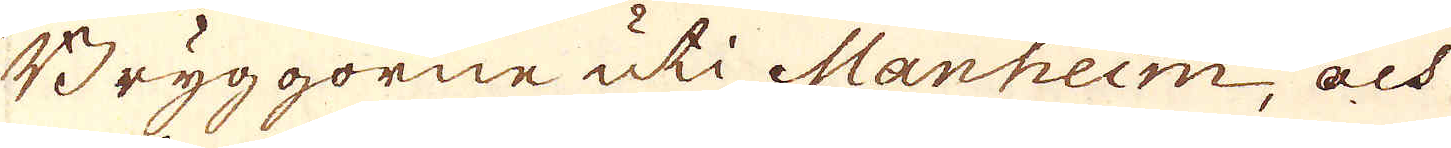Bryggorne uti Manheim, och
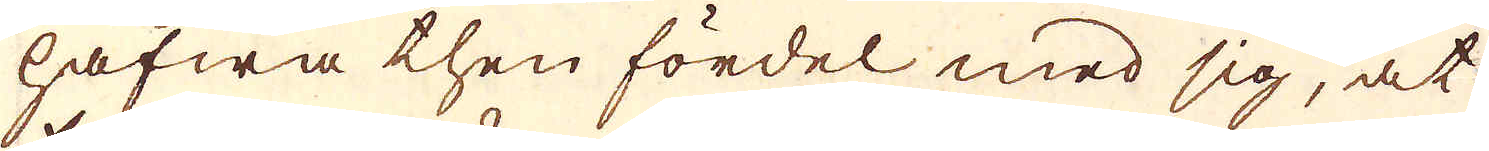hafwa then fördel med sig, at
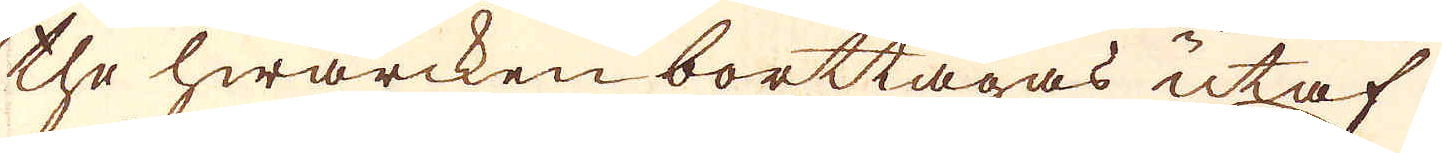the hwarcken borttagas utaf
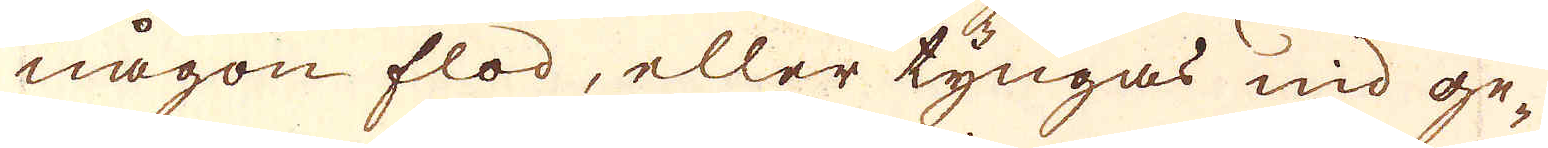någon flod, eller tyngas ned ge-
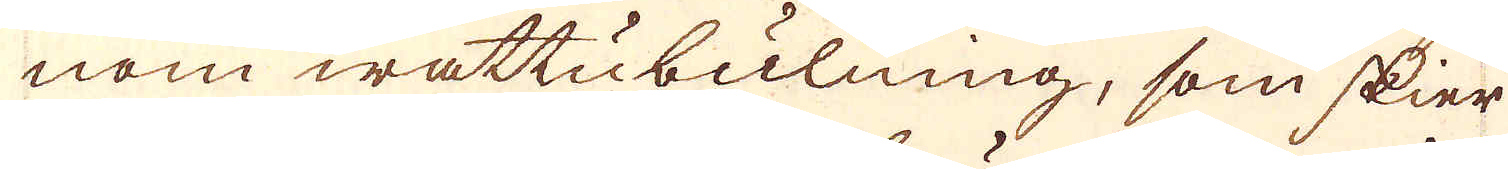nom wattubulning, som skier
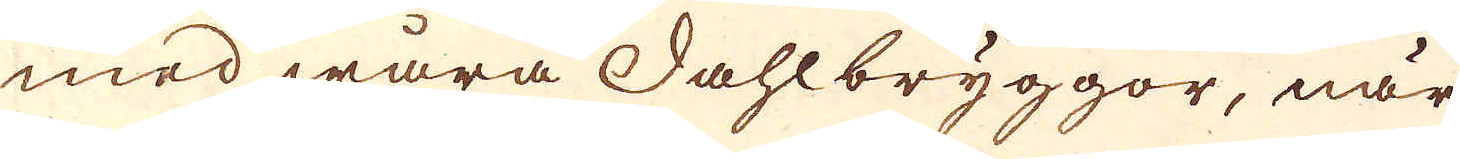med wåra Dahlbryggor, när
